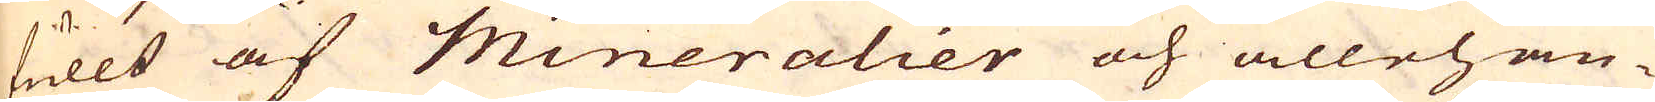fullt af Mineralier och allehan-
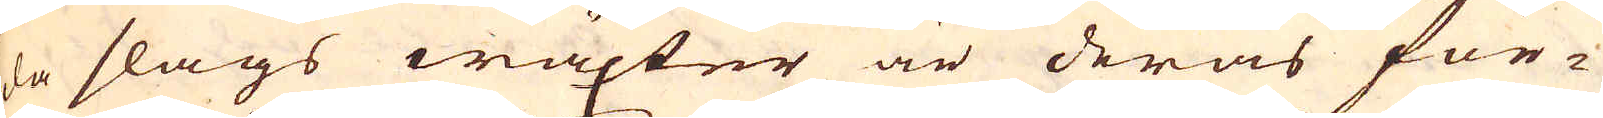da slags wäxter är deras för-
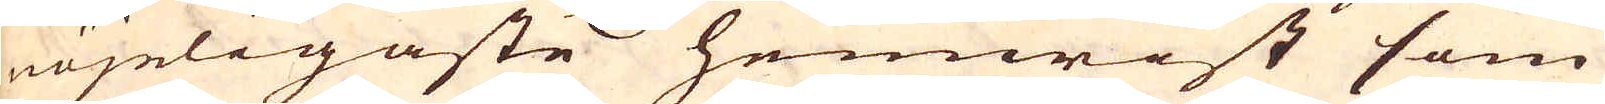nöjeligaste hemwist som
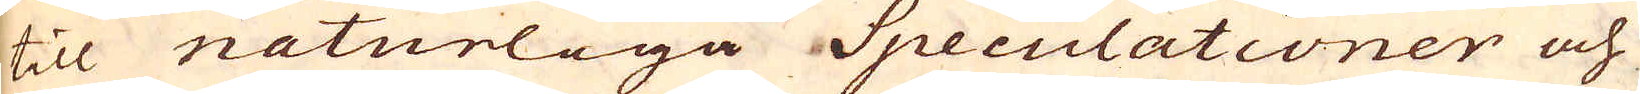till naturliga Speculationer och
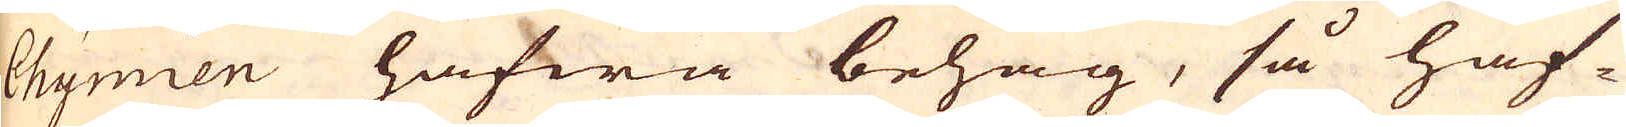Chymien hafwa behag, så haf-
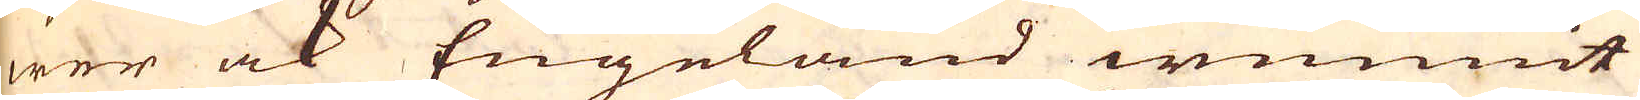wer ock Engeland wunnit
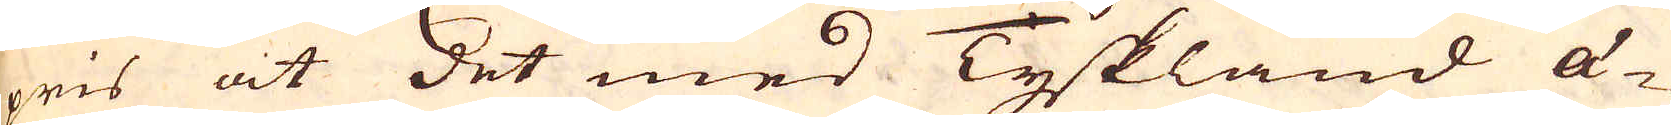pris at det med Tyskland ä-
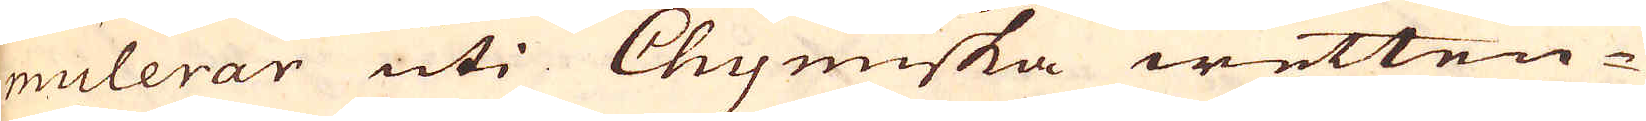mulerar uti Chymiska wetten-
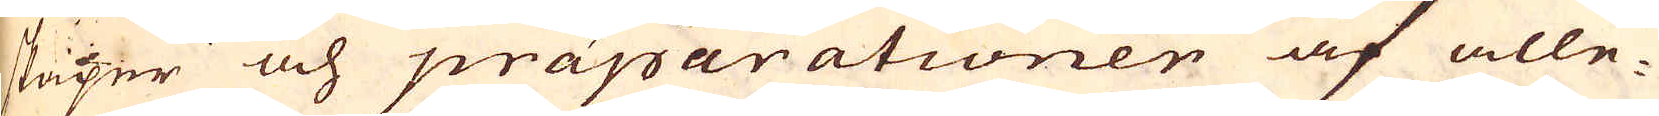skaper och präparationer af alle-
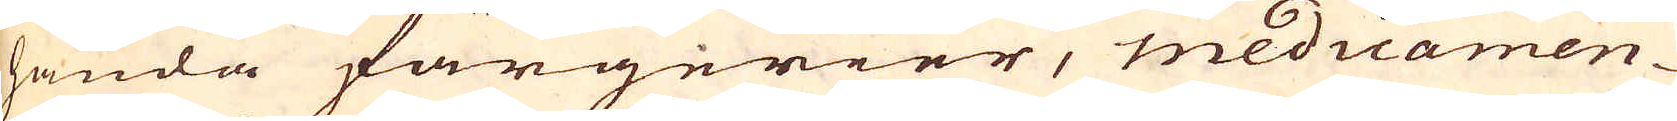handa färgerier, medicamen-
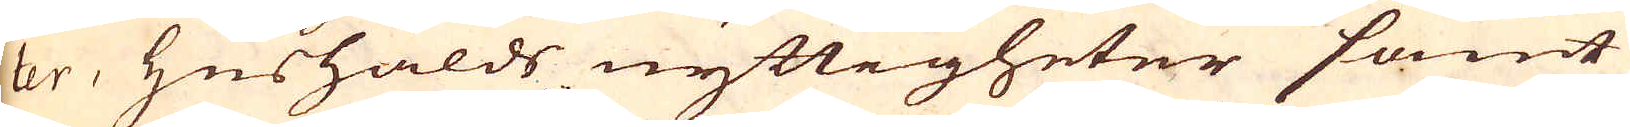ter, hushålds nyttigheter samt
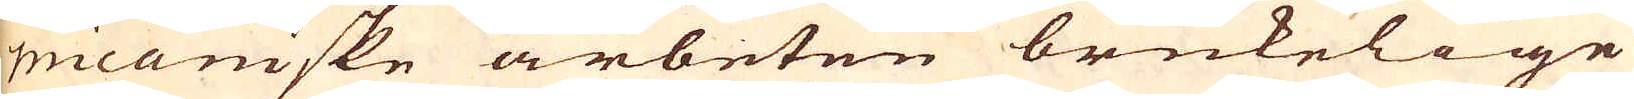micaniske arbeten brukelige
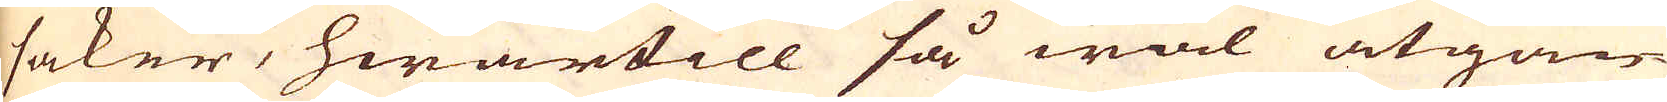saker, hwartill så wäl åtgån-
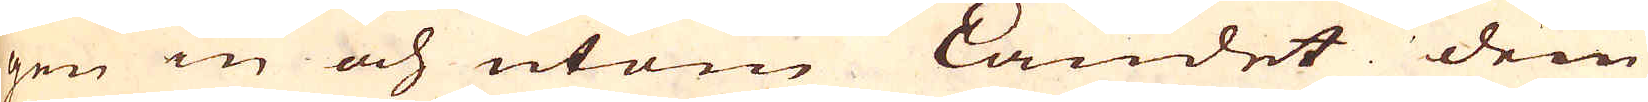gen in och utom Landet dem
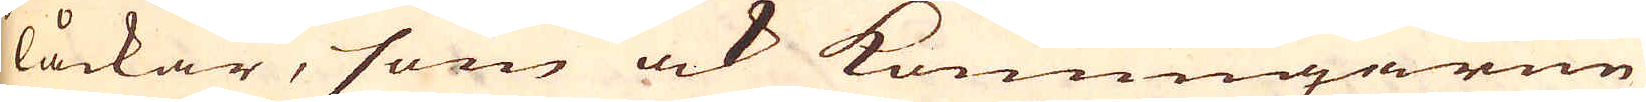låckar, som ock Konungarne
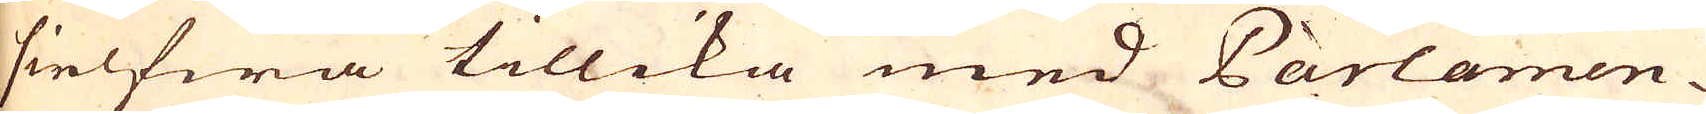sielfwa tillika med Parlamen-
